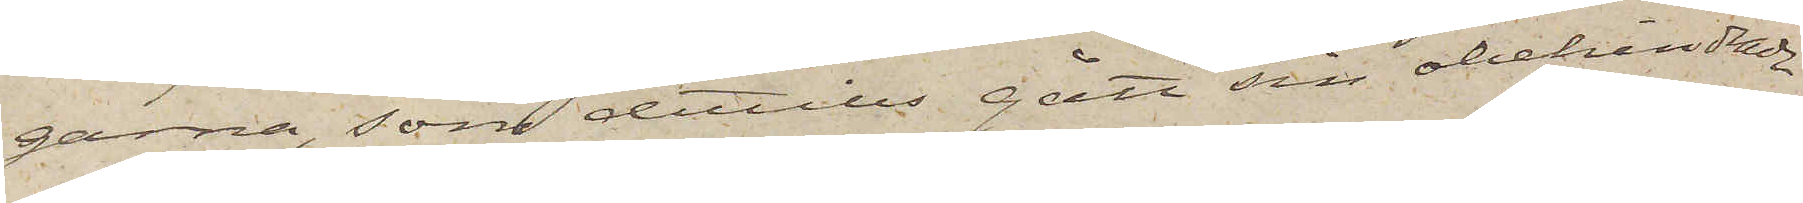garna, som dittills gått sin obehindrade
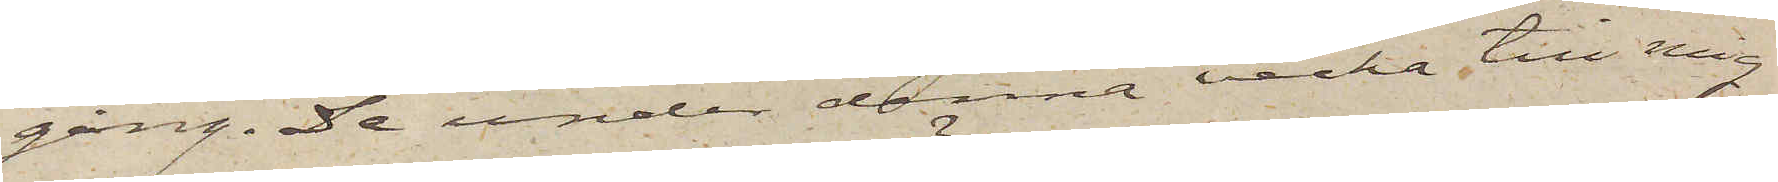gång. De under denna vecka till mig
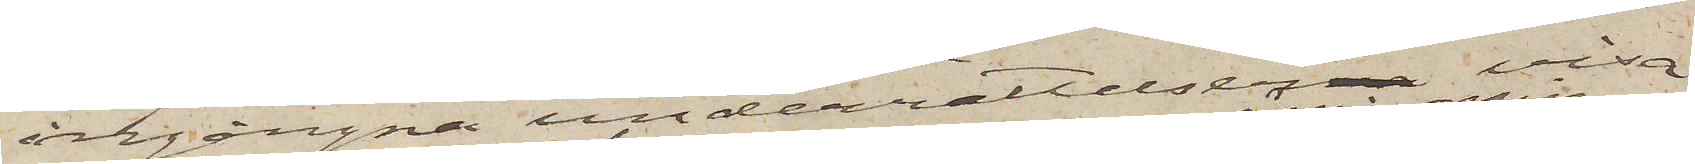ingångna underrättelser visa
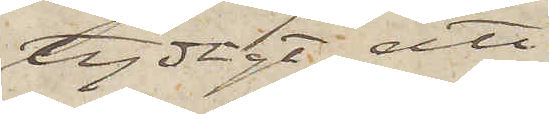tydligt att
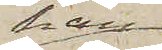han
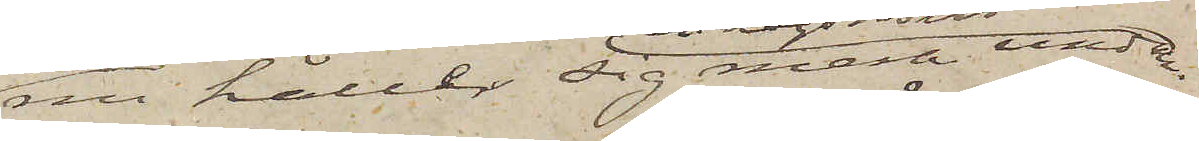nu håller sig mera undan
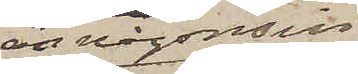än någonsin.
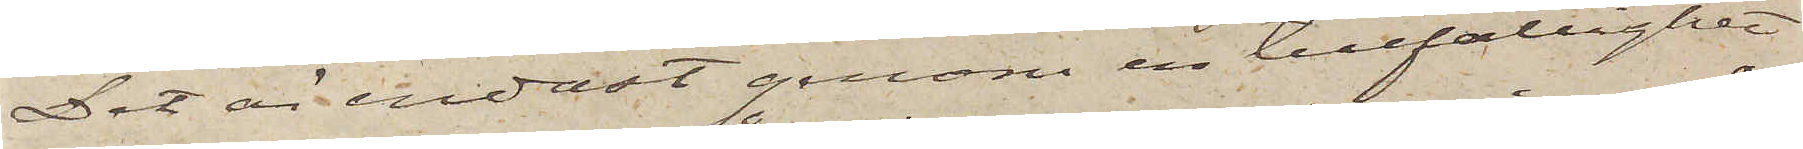Det är endast genom en tillfällighet
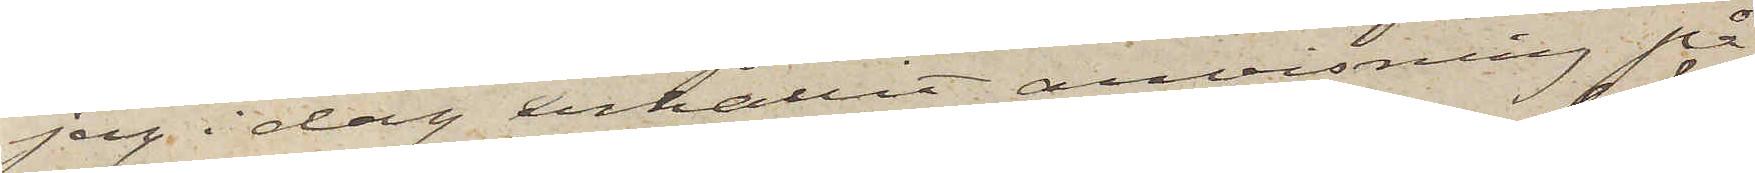jag i dag erhållit anvisning på
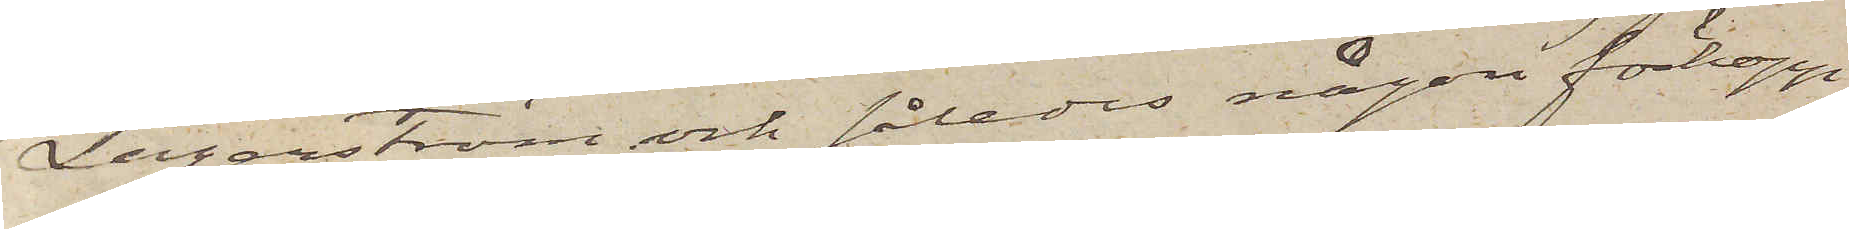Lagerström och således någon förhopp¬
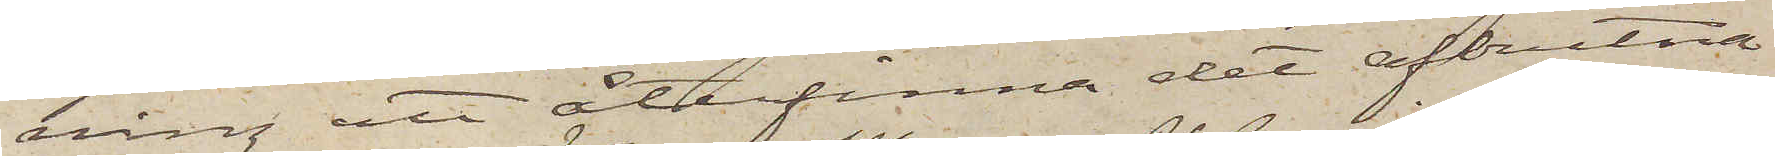ning att återfinna det afbrutna
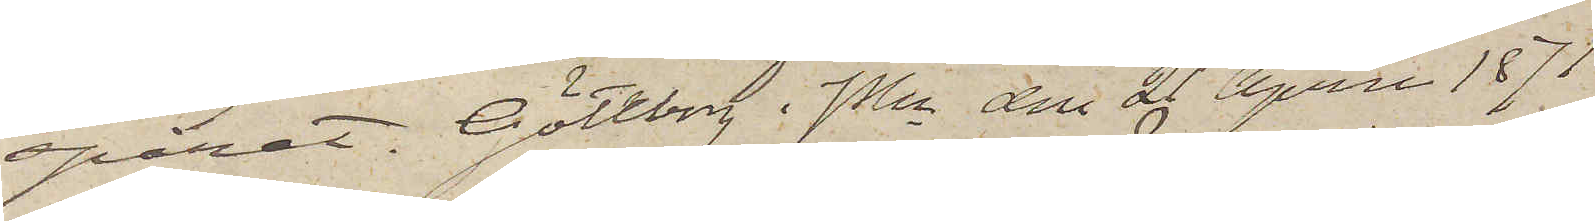spåret. Göteborg i PKn den 29 April 1871
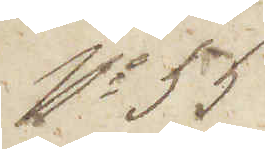No 55
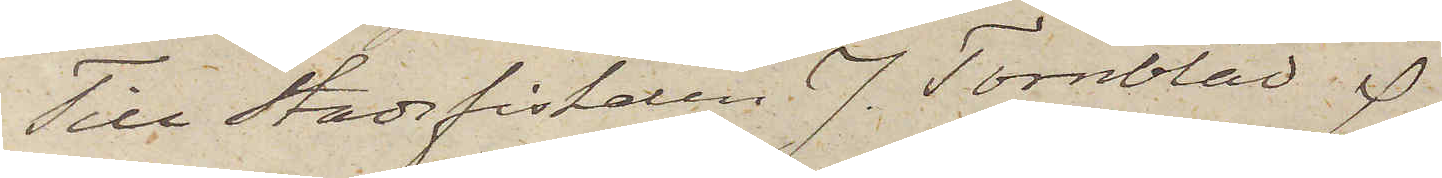Till Stadsfiskaren J. Törnblad
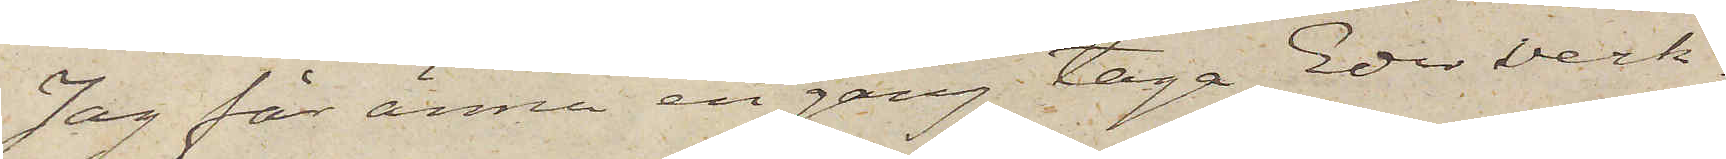Jag får ännu en gång taga Eder verk¬
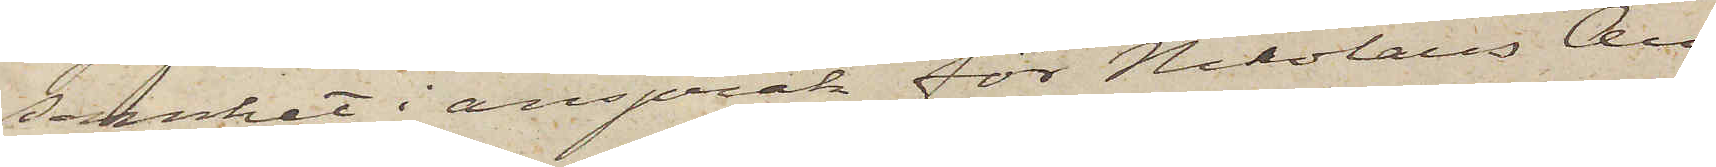samhet i anspråk för Nikolaus An¬
